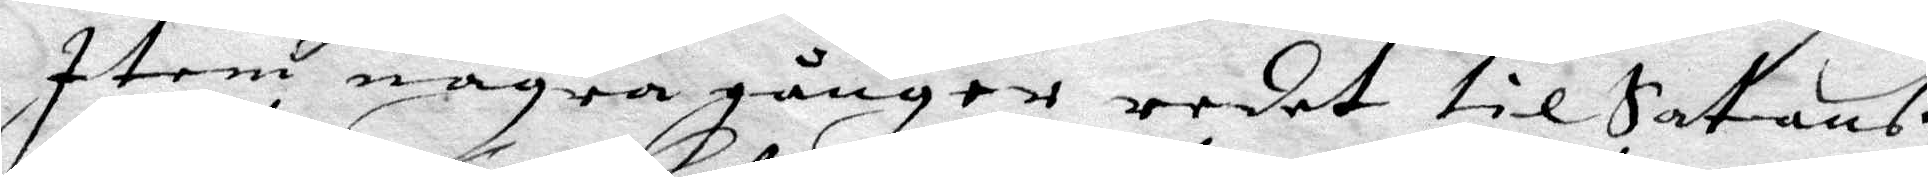Item några gånger redet til Satanß
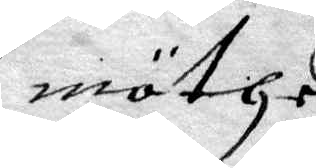möthe
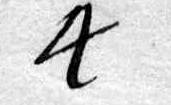4 
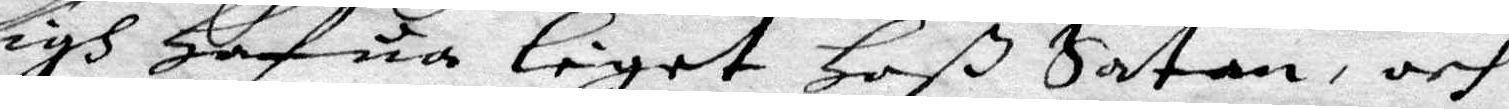sigh Hafua leget Hoß Satan, och
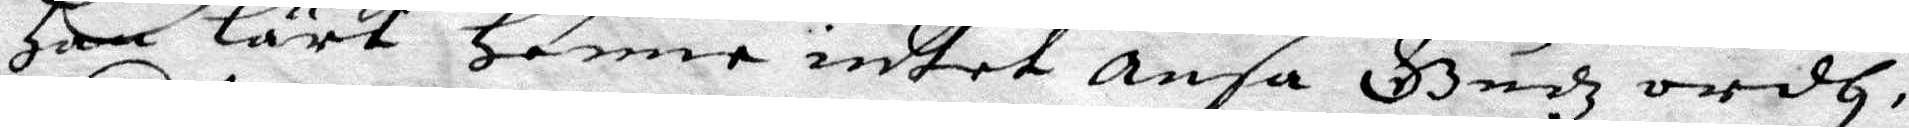Han Lärt Henne intet ansa Gudz ordh,
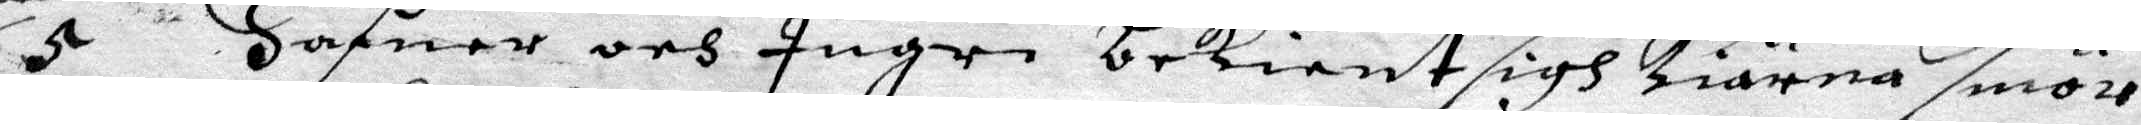5 Hafuer ocj Ingri bekient sigh kiärna smör
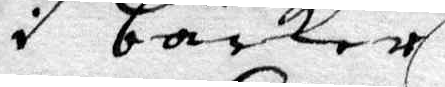i backer
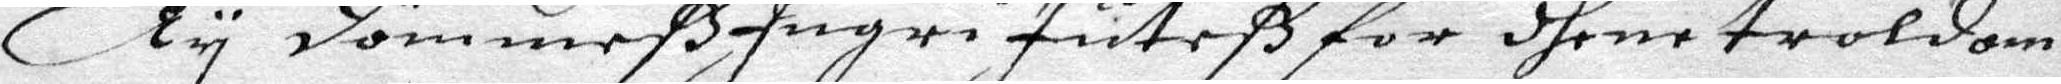Ty dömmeß Ingri Juteß for dhene troldom
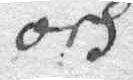och
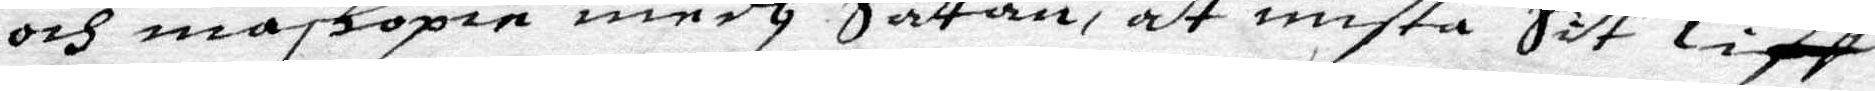och maskopie medh Satan, at mista Sit Liff
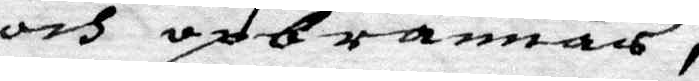och opbrännas,
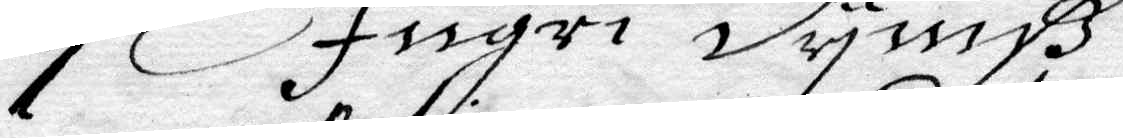7 Ingri dyniß
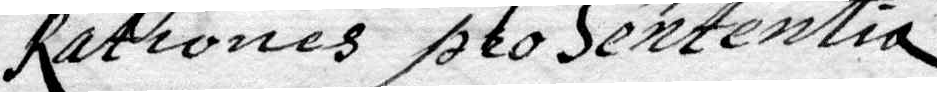Rationes pro Sententia
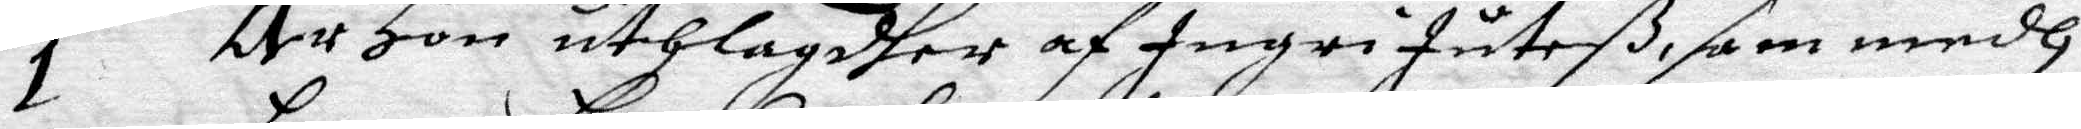1 Är Hon uthlagdher af Ingri Juteß, som medh
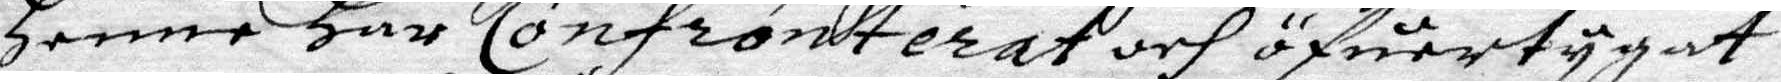Henne Har Confronterat och öfuertygat
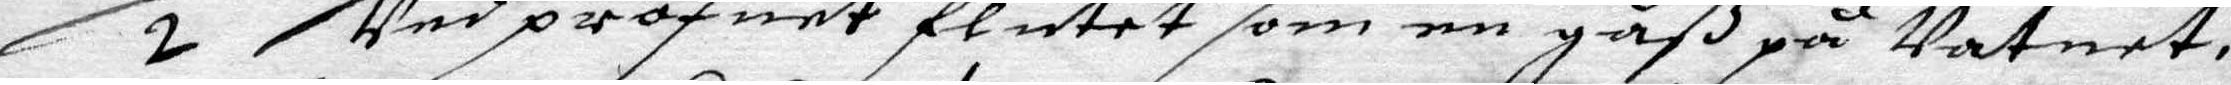2 Ved profuet flutet som en gåß på Vatnet,
